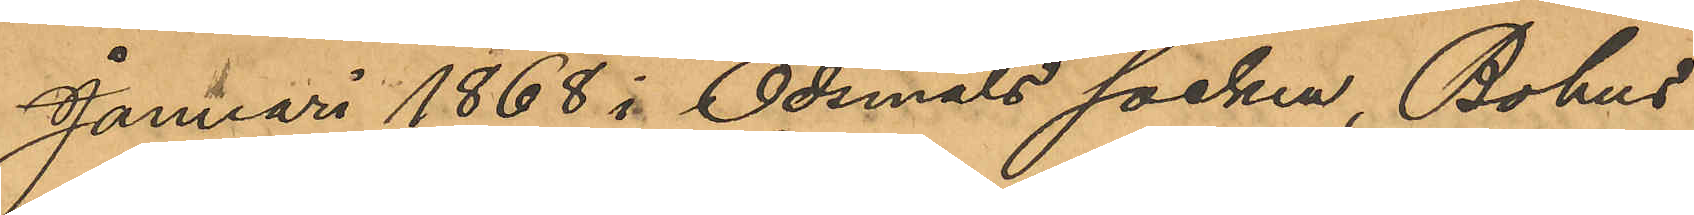Januari 1868 i Ödsmåls socken, Bohus
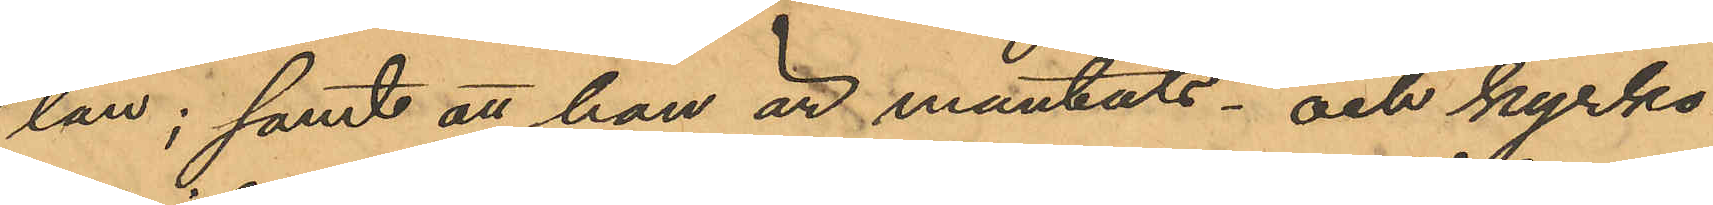län; samt att han är mantals- och kyrko¬
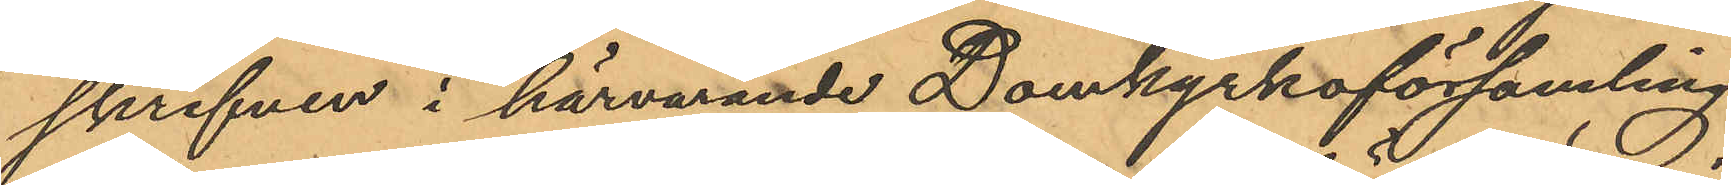skrifven i härvarande Domkyrkoförsamling.
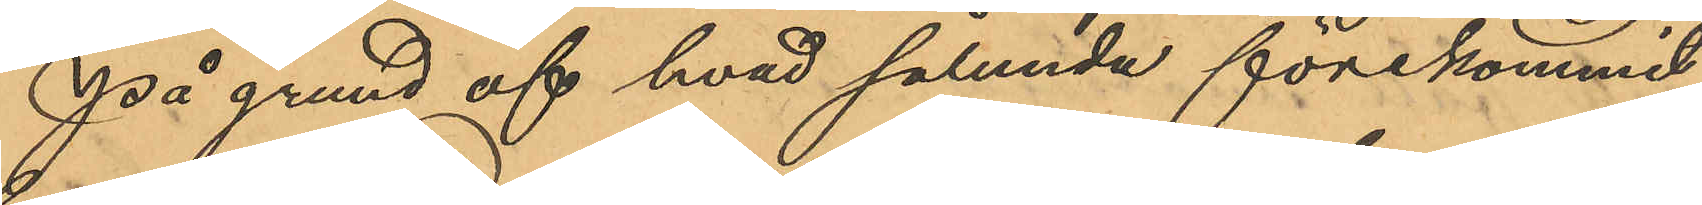På grund af hvad sålunda förekommit
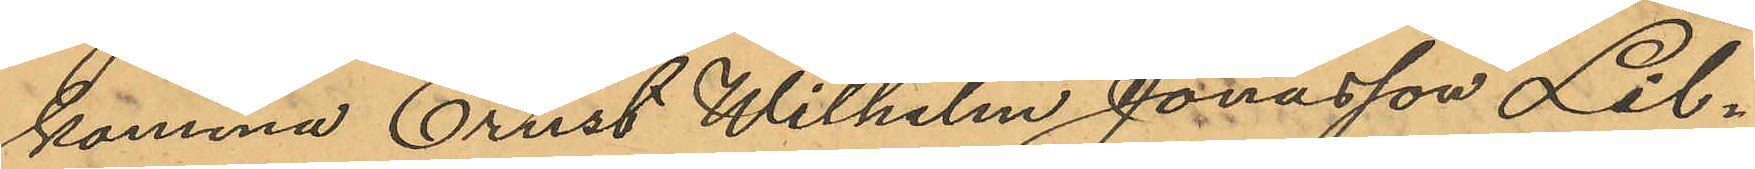komma Ernst Wilhelm Jonasson Lil¬
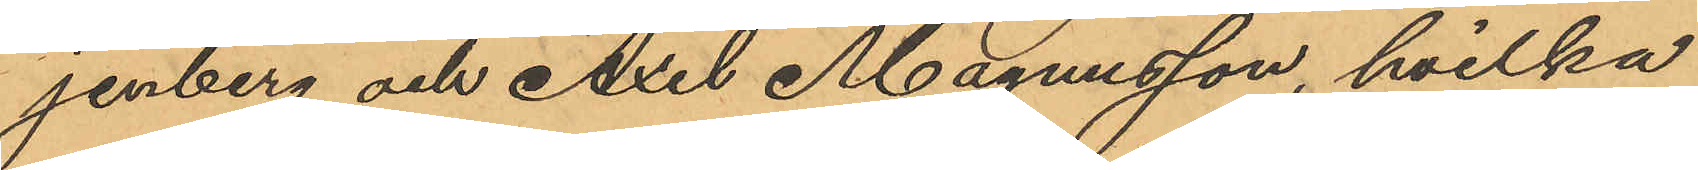jenberg och Axel Magnusson, hvilka
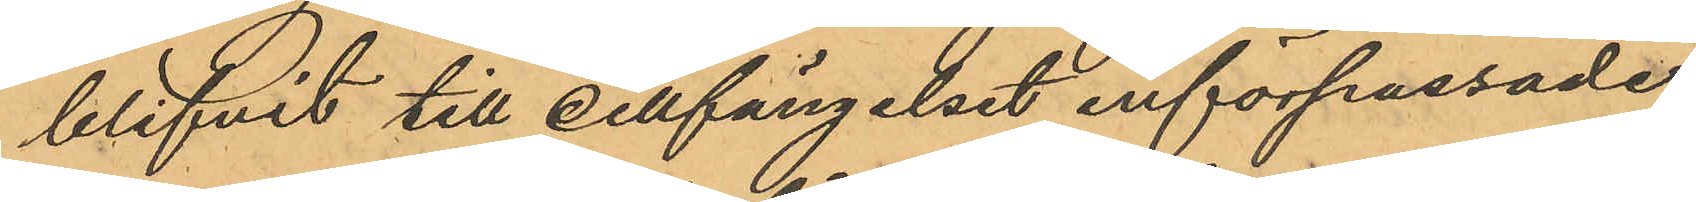blifvit till cellfängelset införpassade,
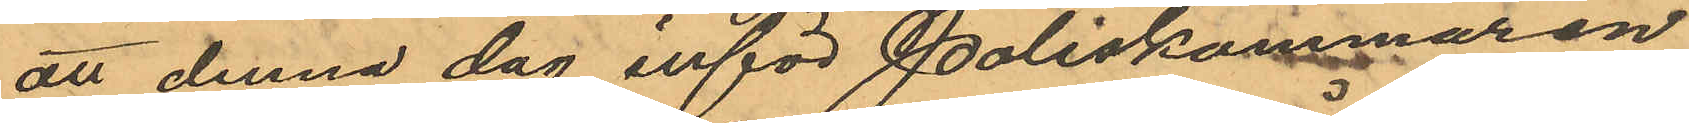att denna dag inför Poliskammaren
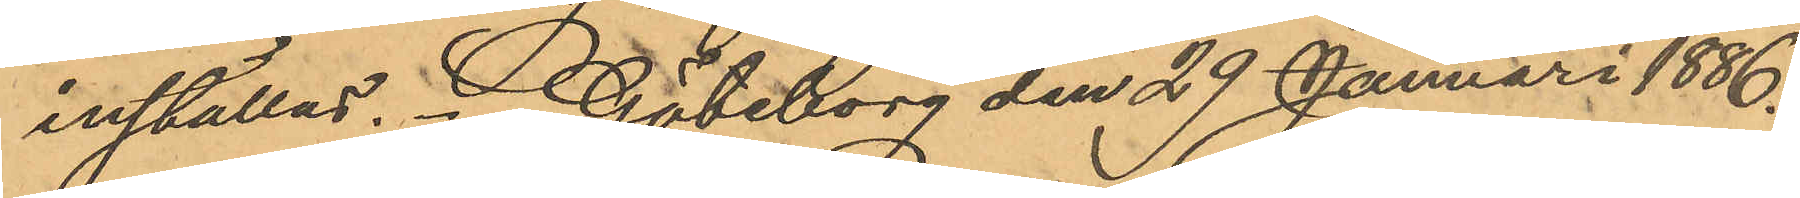inställas. Göteborg den 29 Januari 1886.
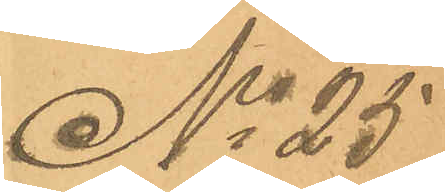No 25
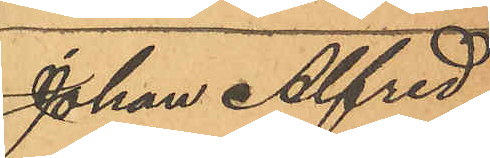Johan Alfred
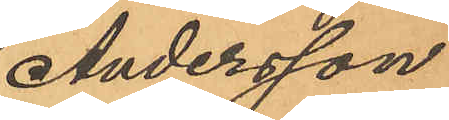Andersson
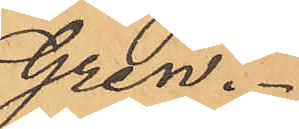Gren.
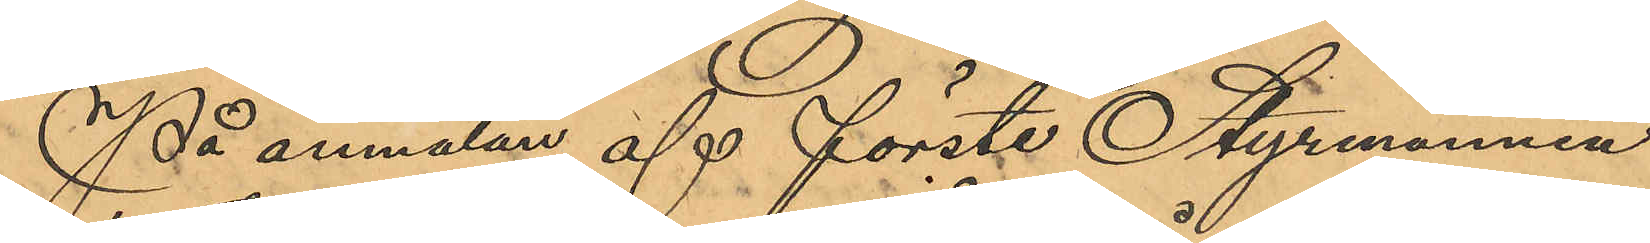På anmälan af förste Styrmannen
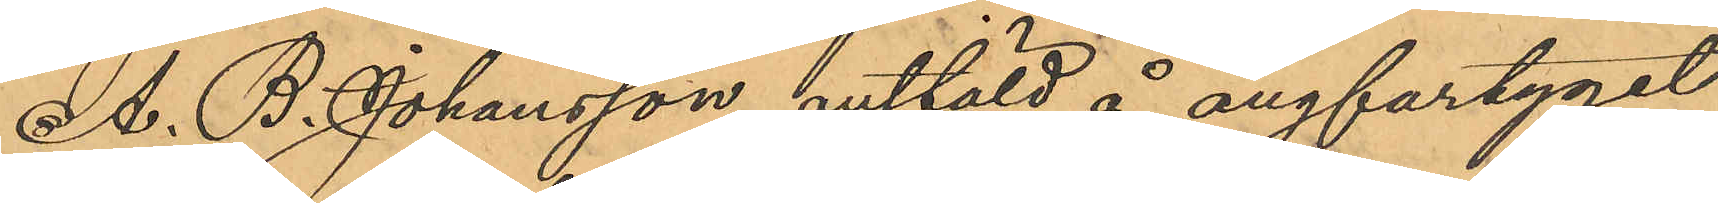A. B. Johansson, anstäld å ångfartyget
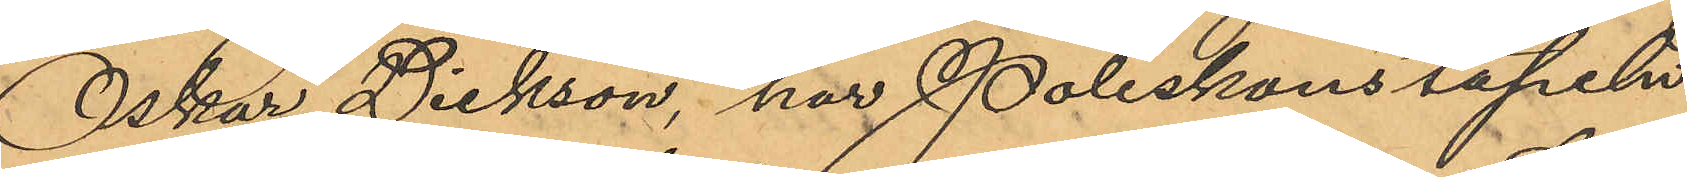"Oskar Dickson", har Poliskonstapeln
